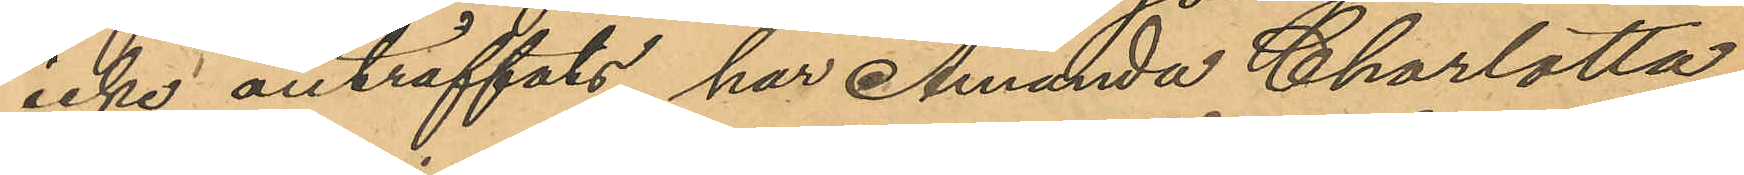icke anträffats, har Amanda Charlotta
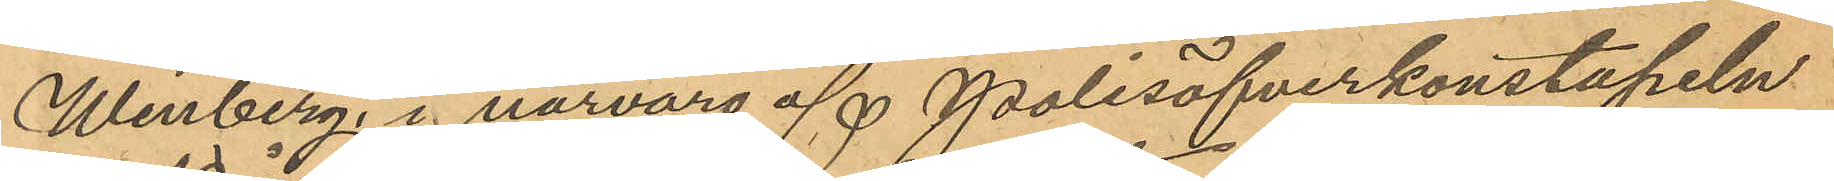Winberg, i närvaro af Polisöfverkonstapeln
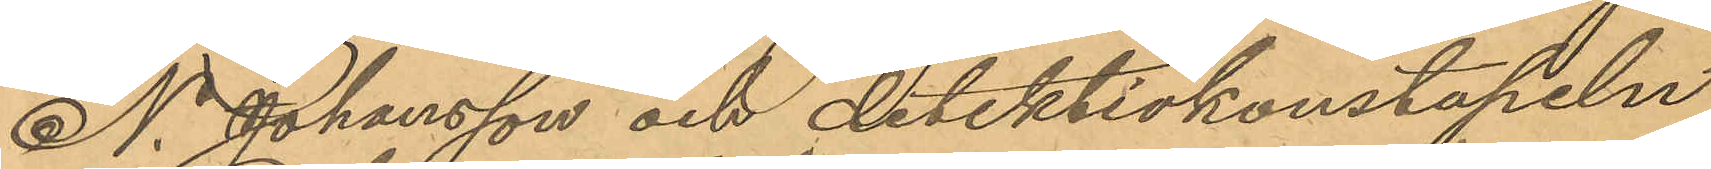N. Johansson och detektivkonstapeln
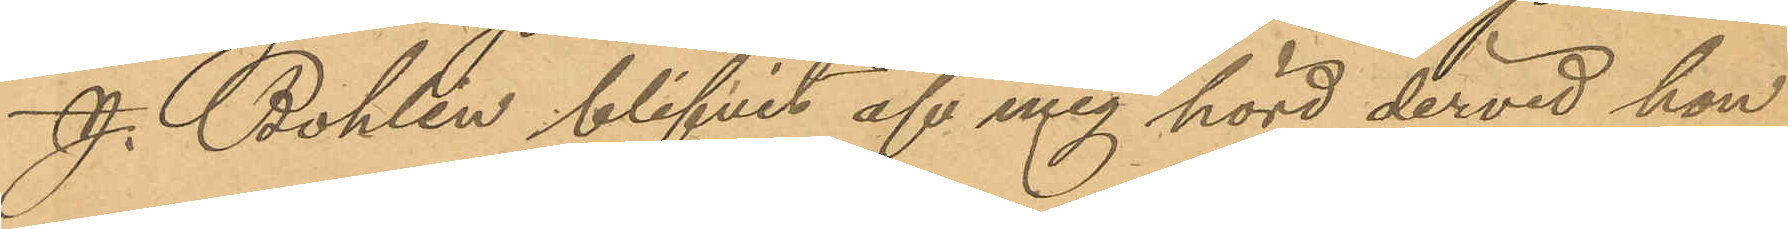J. Bohlin blifvit af mig hörd dervid hon
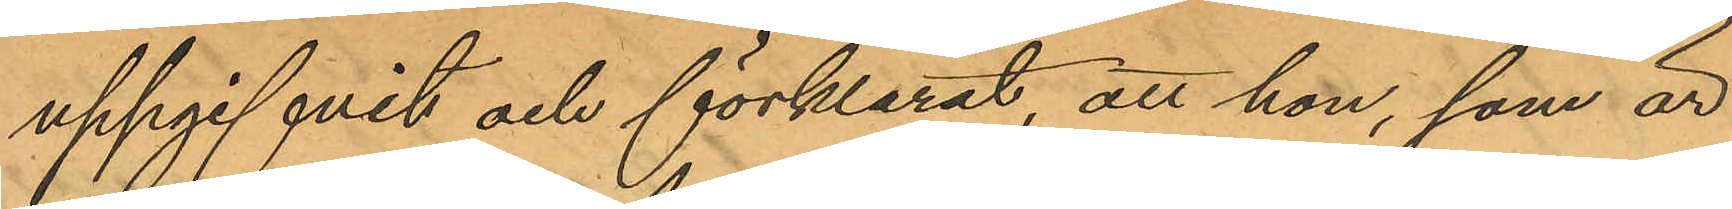uppgifvit och förklarat, att hon, som är
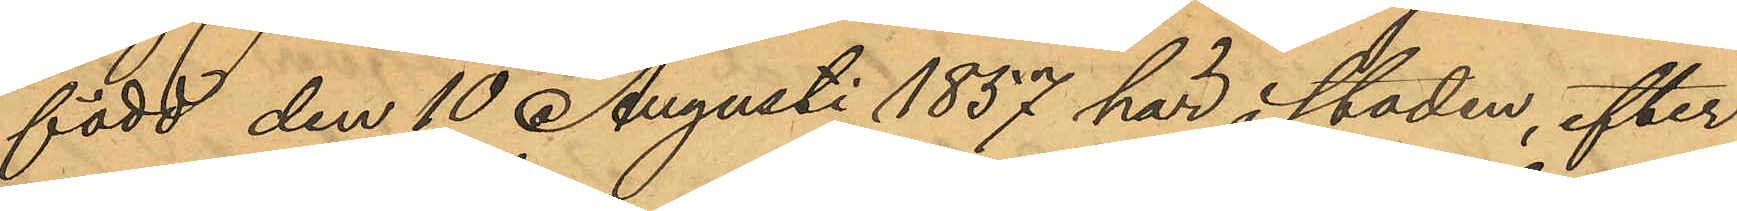född den 10 Augusti 1857 här i staden, efter
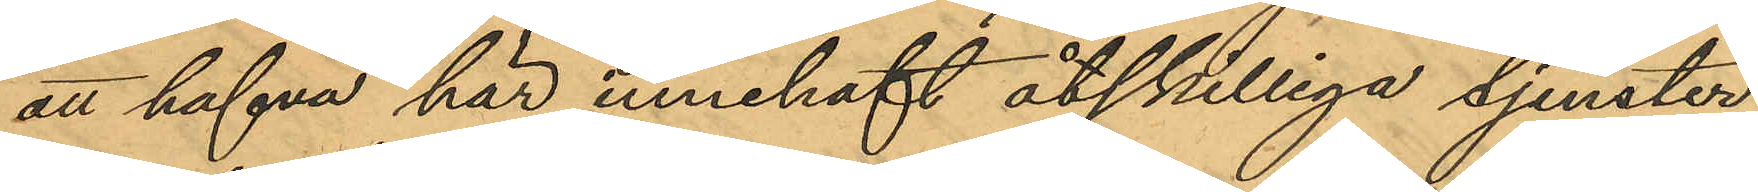att hafva här innehaft åtskilliga tjenster,
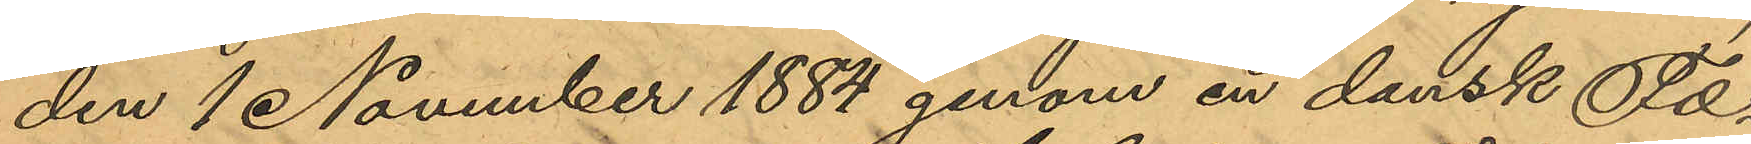den 1 November 1884 genom en dansk För¬
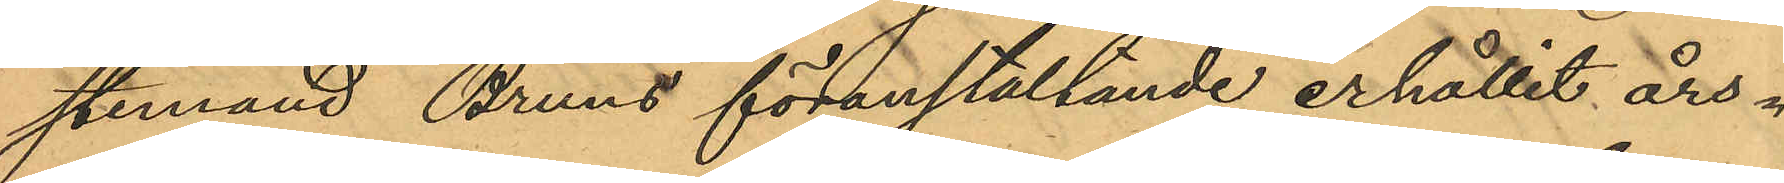stermand Bruns föranstaltande erhållit års¬
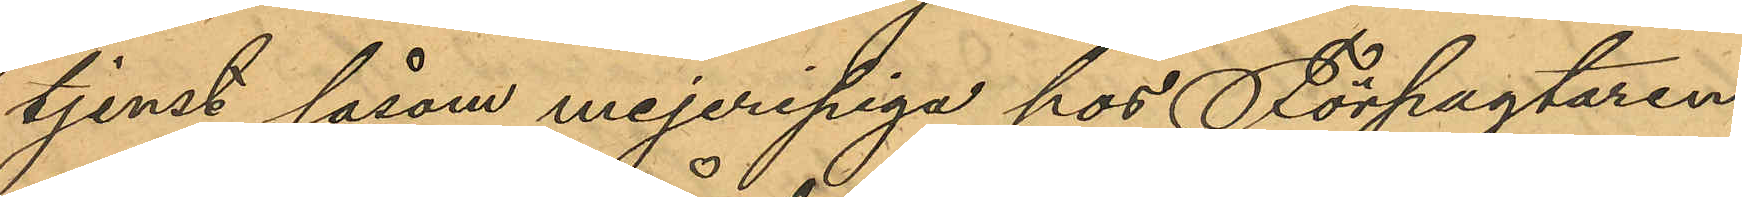tjenst såsom mejeripiga hos Förpagtaren
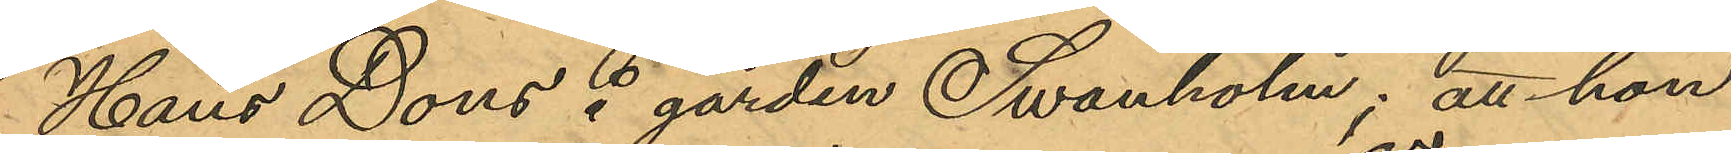Hans Dons å gården Swanholm; att hon
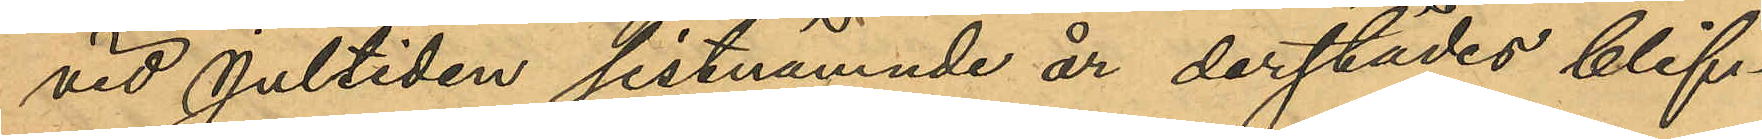vid Jultiden sistnämnde år derstädes blif¬
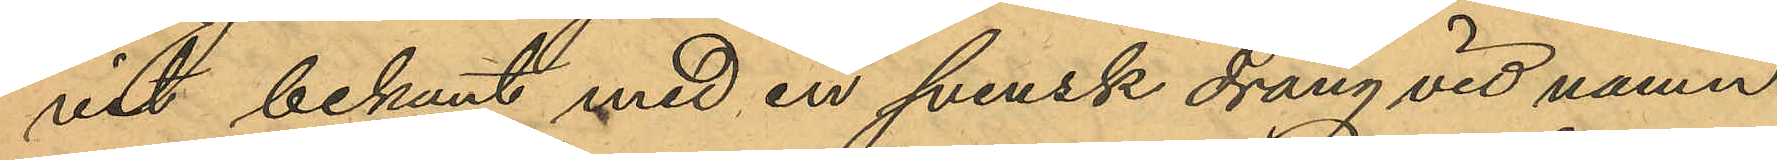vit bekant med en svensk dräng vid namn
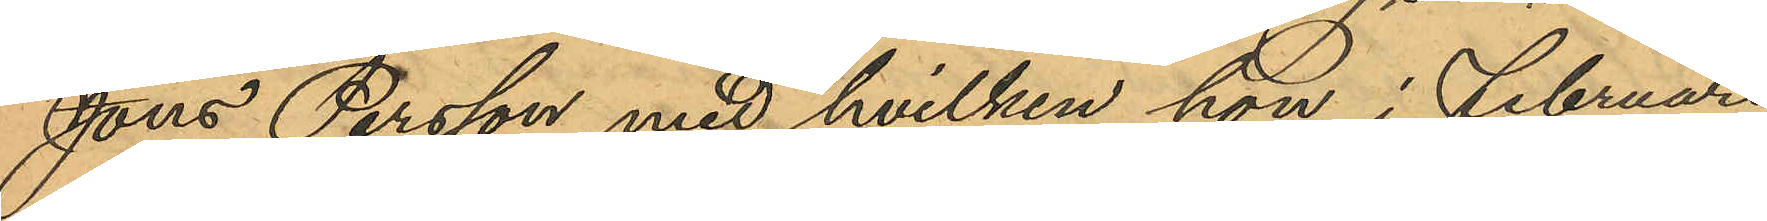Jöns Persson, med hvilken hon i Februari
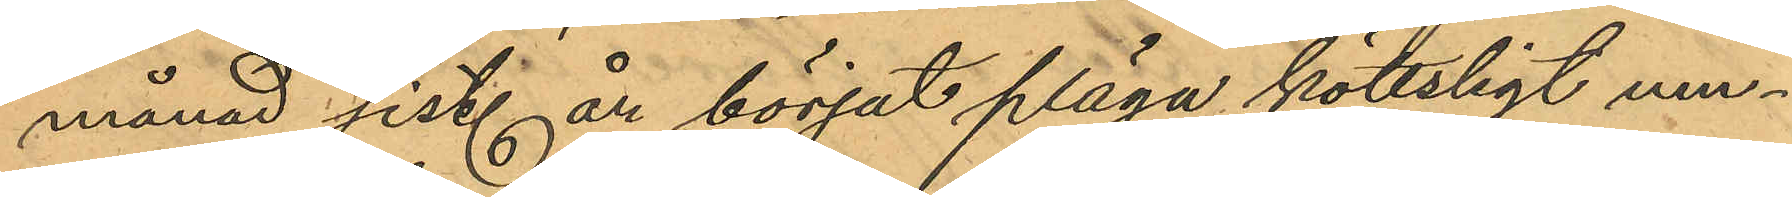månad sist. år börjat pläga köttsligt um¬
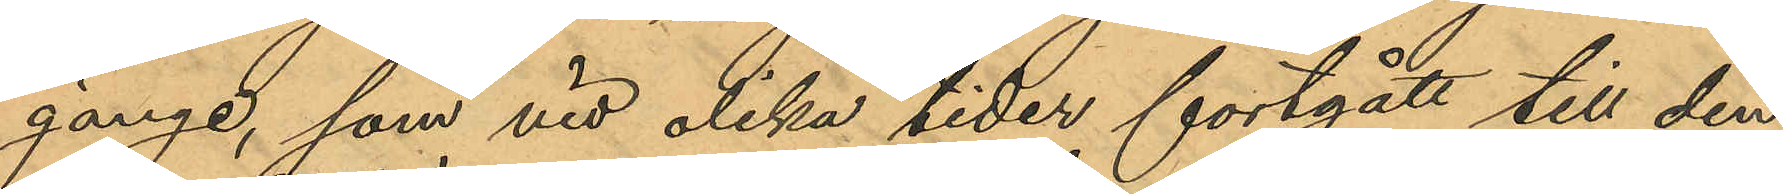gänge, som vid olika tider fortgått till den
